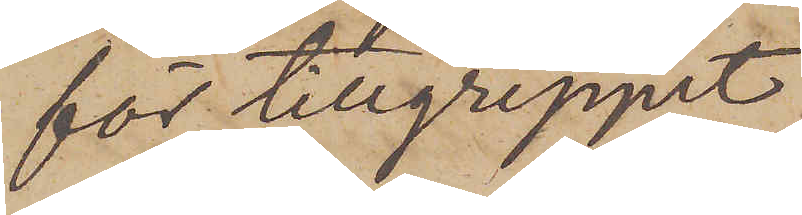för tillgreppet.
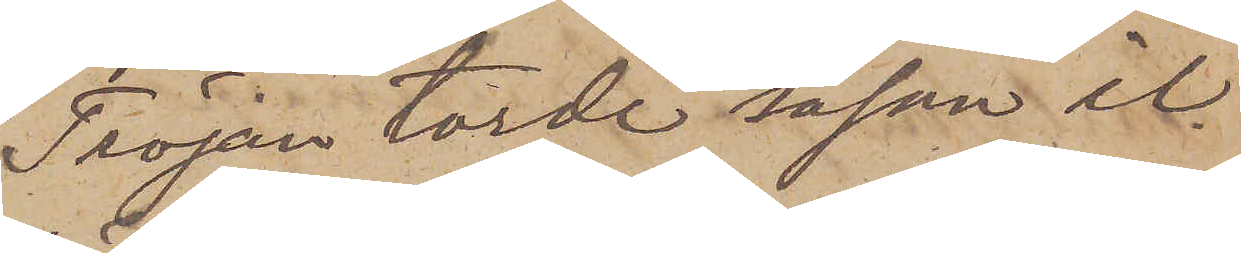Tröjan torde såsom il¬
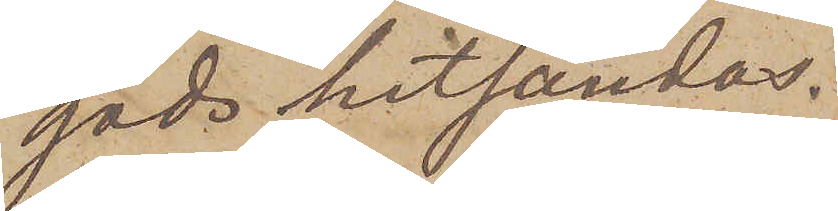gods hitsändas.
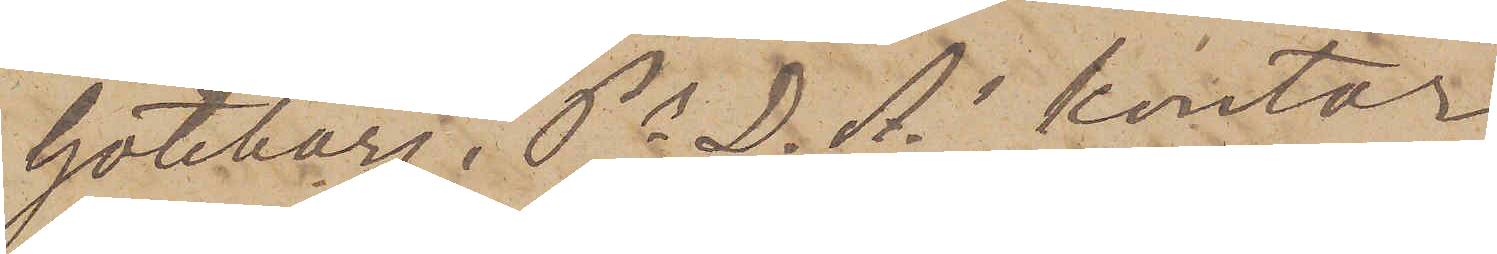Göteborg, Ps. D. A. kontor
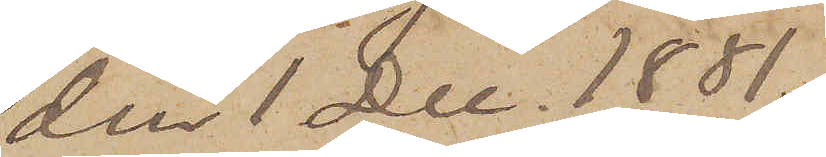den 1 Dec. 1881.
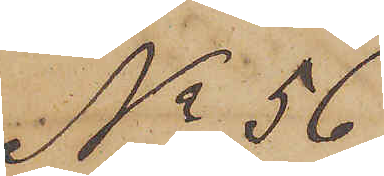No 56
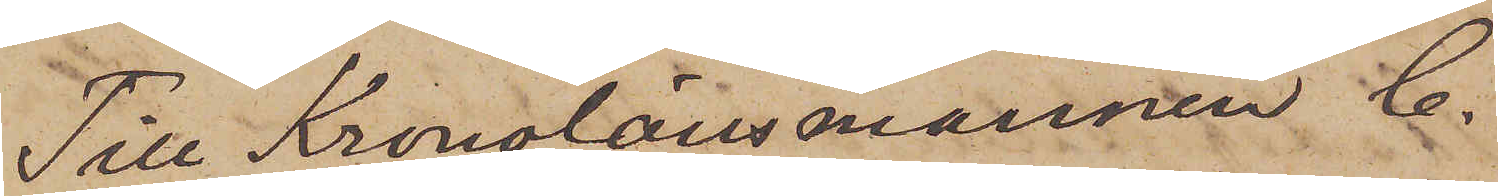Till Kronolänsmannen C.
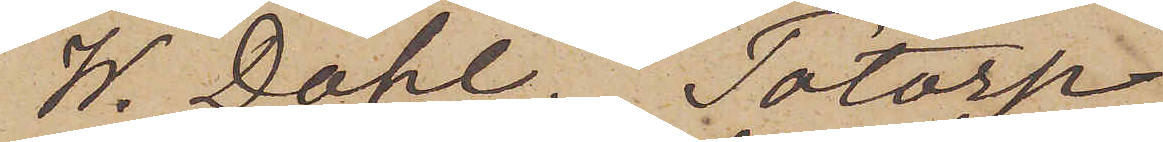W. Dahl. Totorp
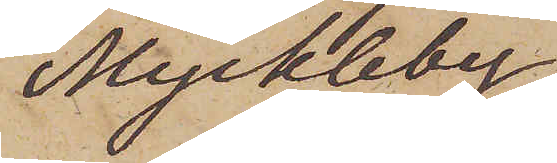Myckleby.
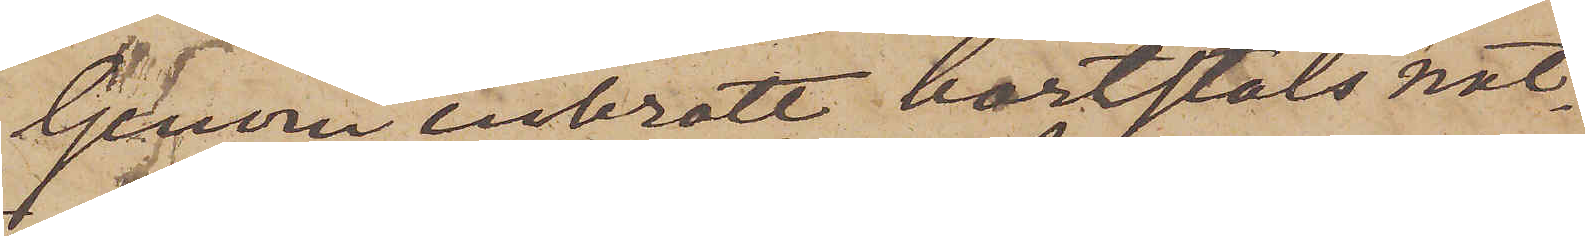Genom inbrott bortstals nat¬
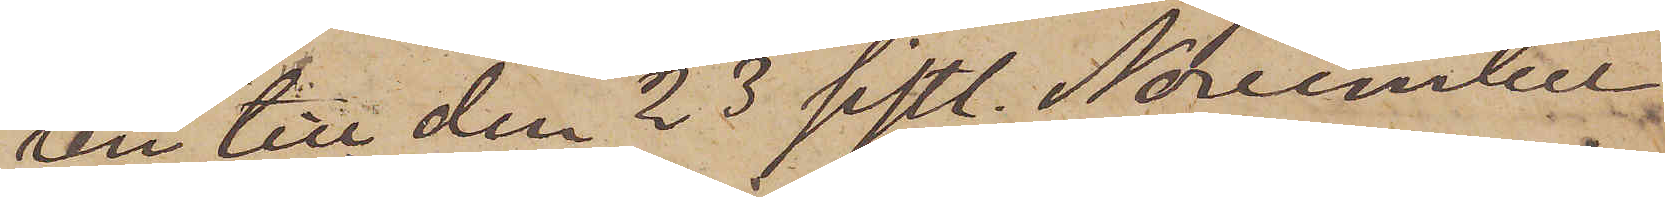ten till den 23 sistl. November
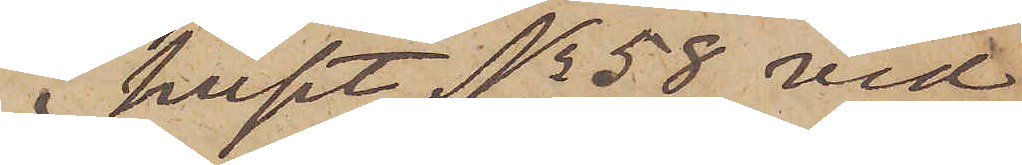i huset No 58 vid
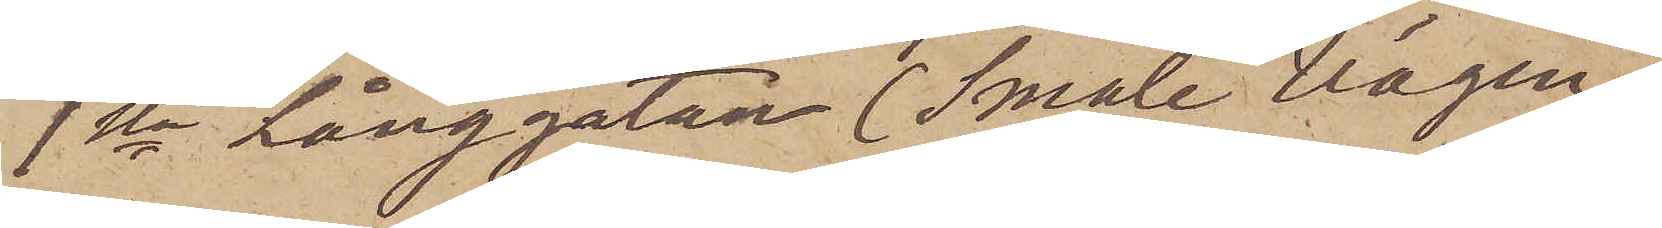1sta Långgatan (Smale vägen)
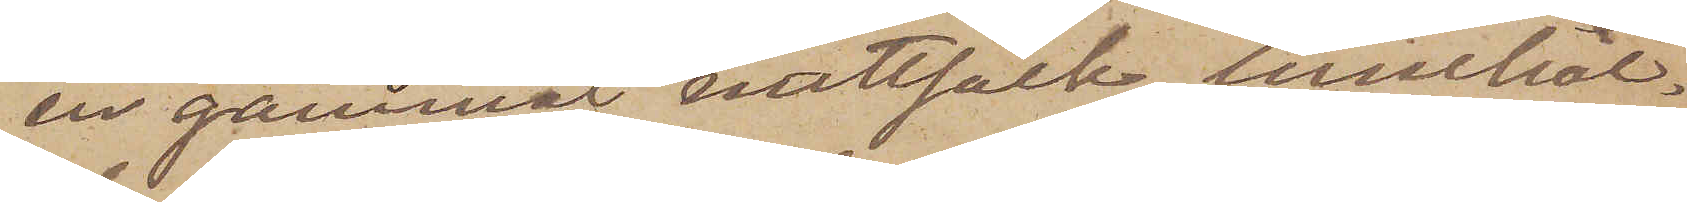en gammal nattsäck, innehål¬
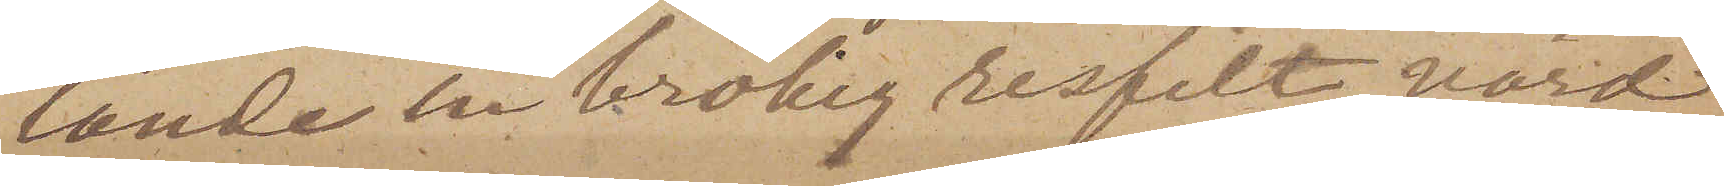lande en brokig resfilt, värd
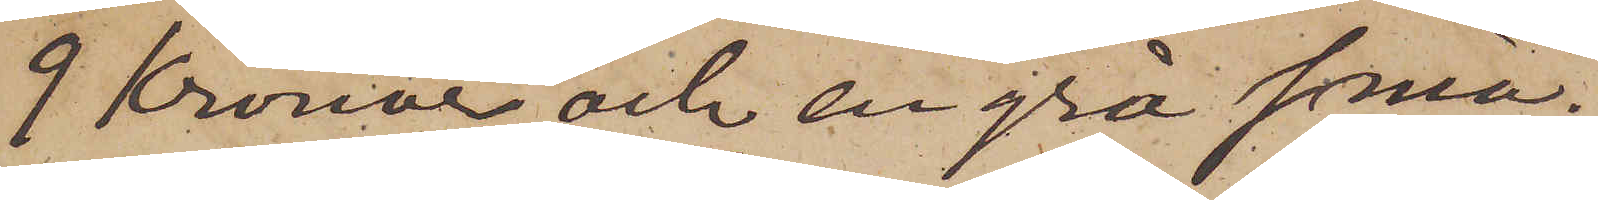9 Kronor, och en grå små¬
